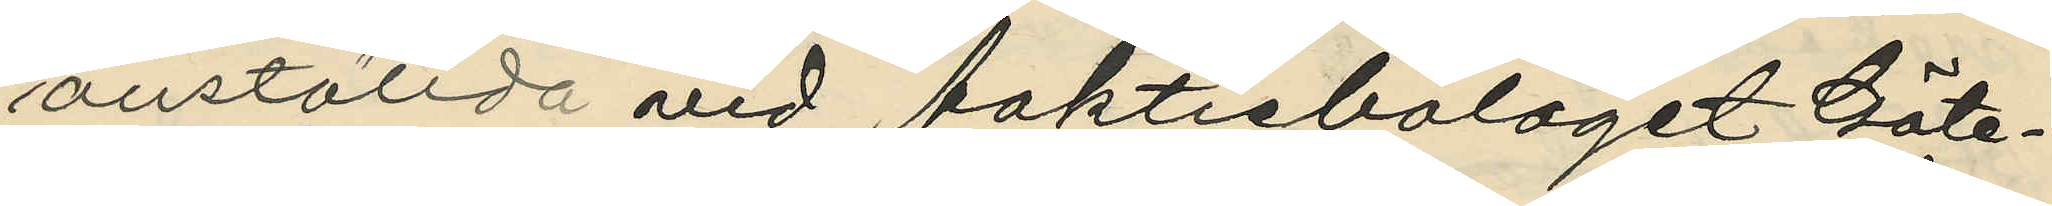anställda vid Aaktiebolaget Göte¬
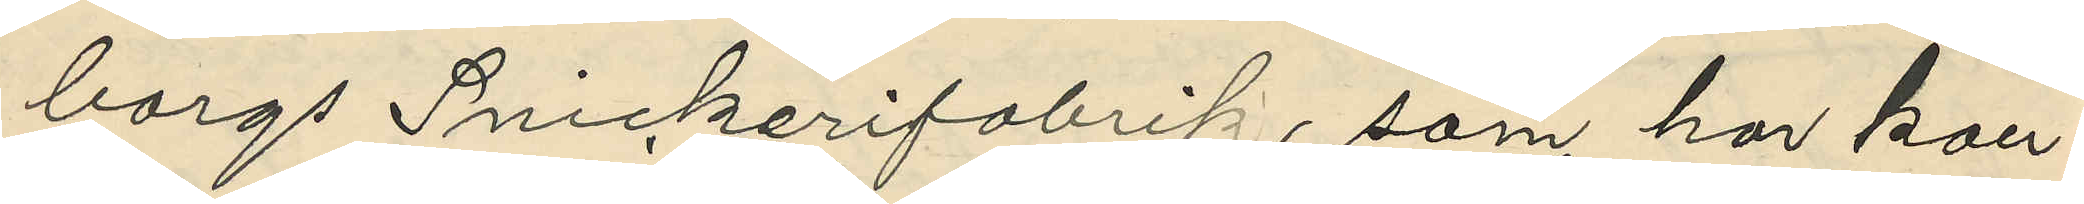borgs Snickerifabrik, som har kon¬
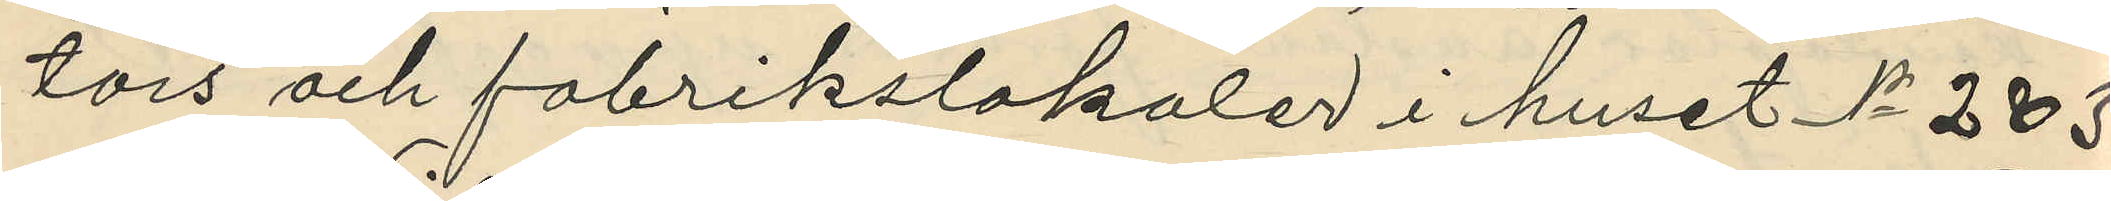tors och fabrikslokaler i huset No 283
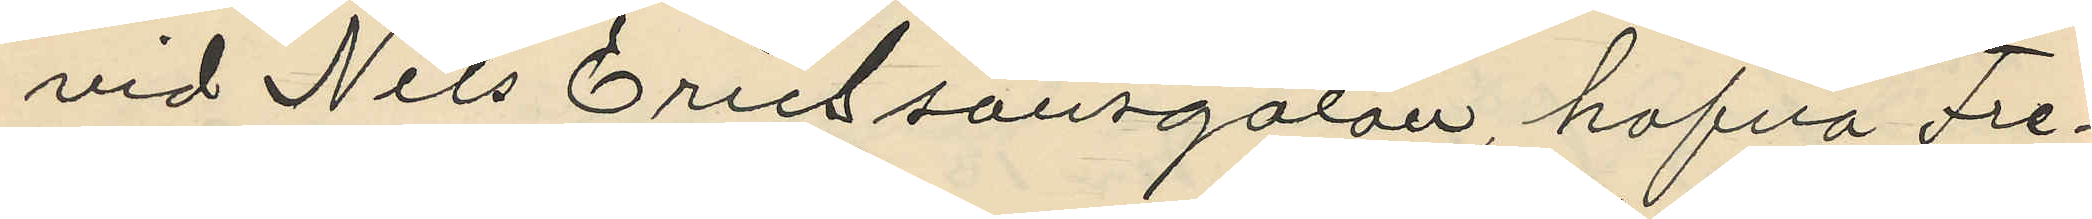vid Nils Ericssonsgatan, hafva Fre¬
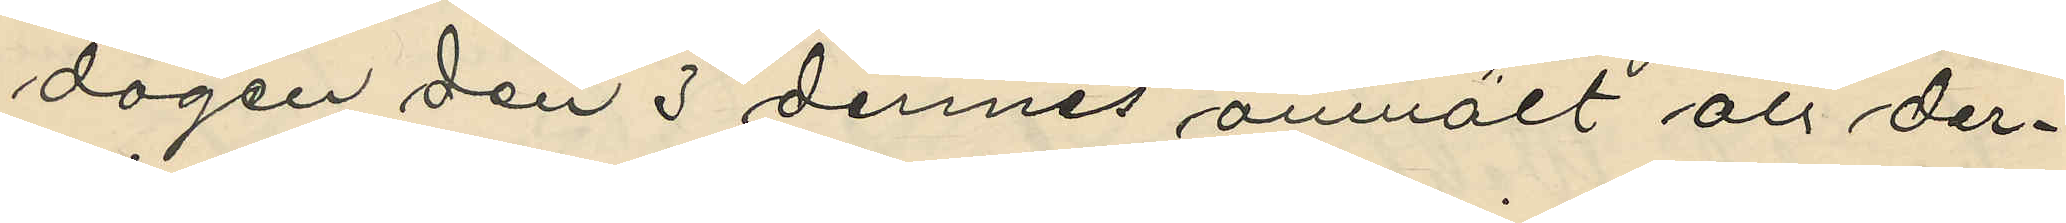dagen den 3 dennes anmält att der¬
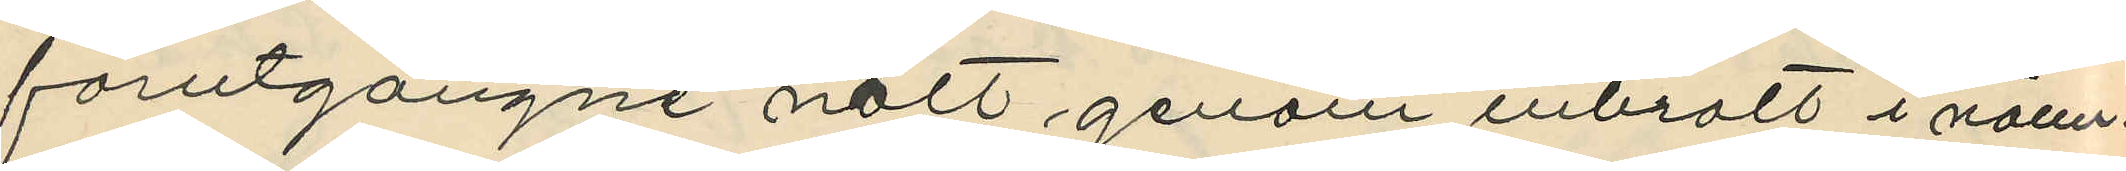förutgångne natt genom inbrott i nänn¬
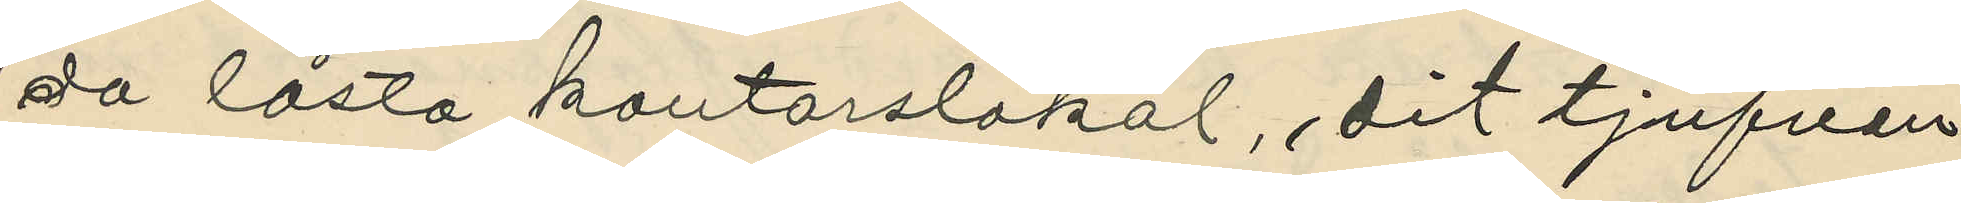da låsta kontorslokal, dit tjufven
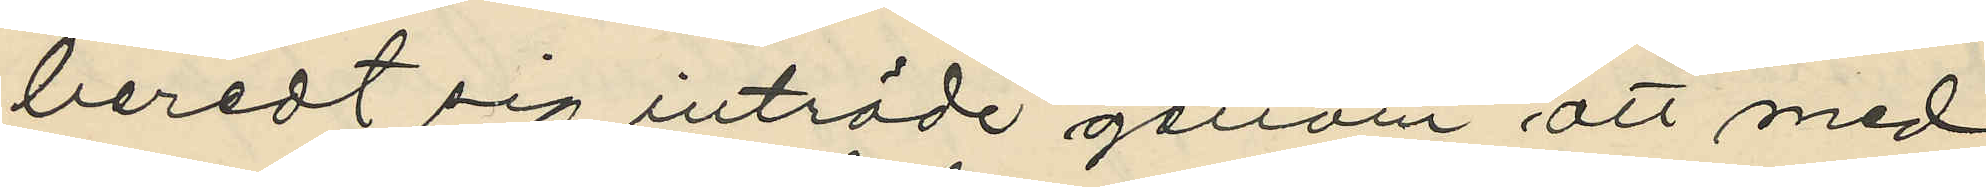beredt sig inträde genom att med
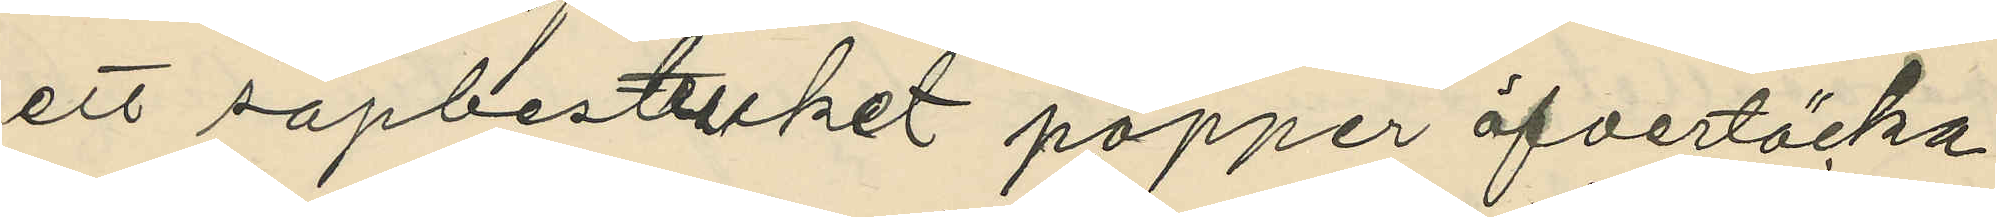ett såpbestruket papper öfvertäcka
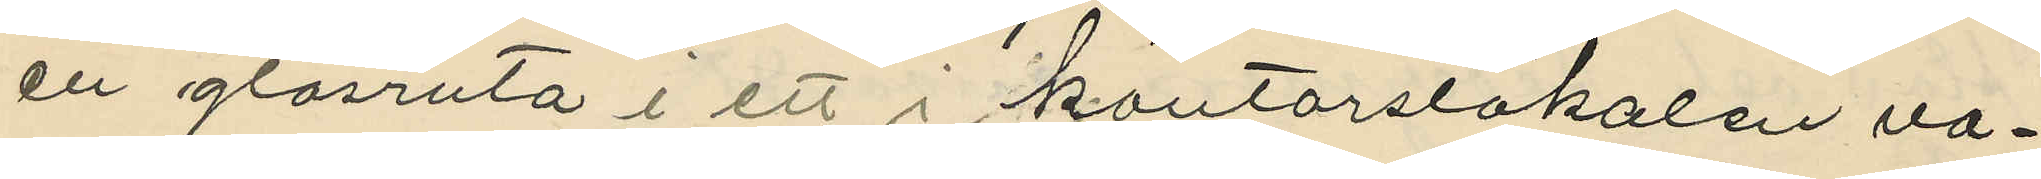en glasruta i ett i kontorslokalen va¬
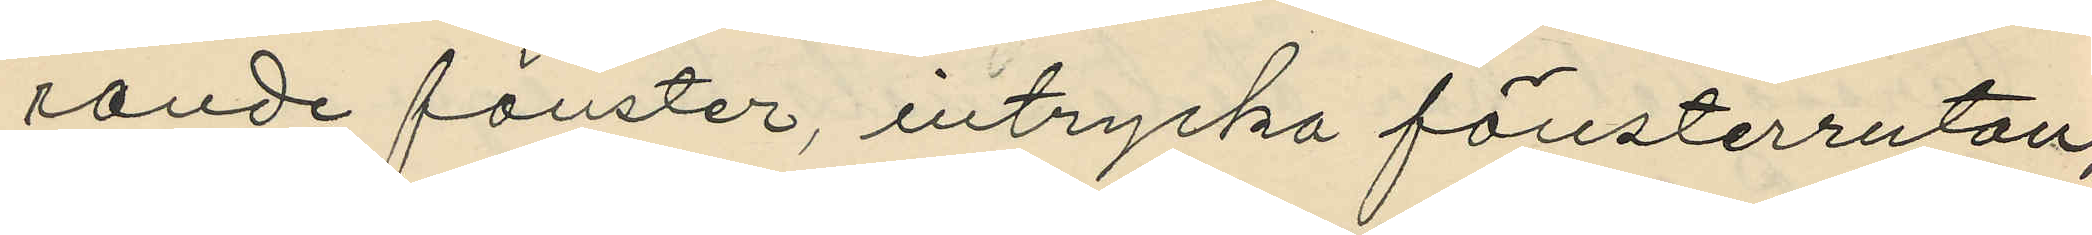rande fönster, intrycka föresterrutan,
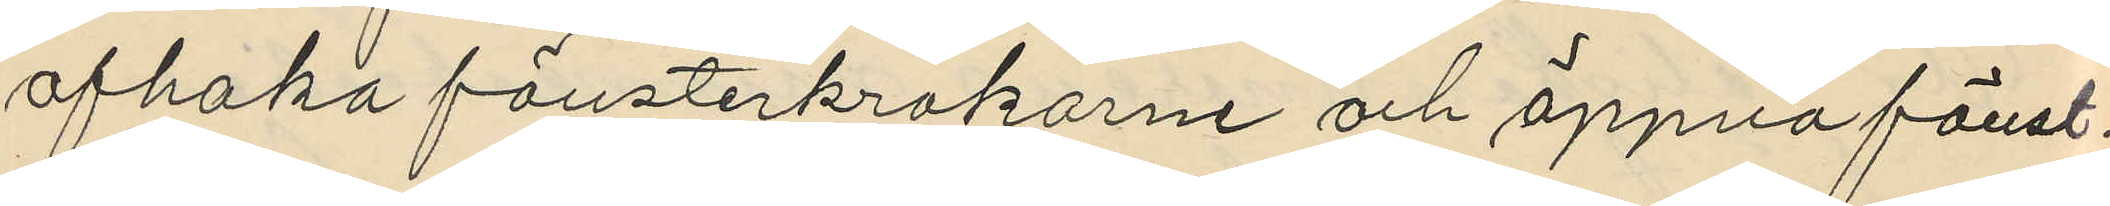afhaka fönsterkrokarne och öppna fönst¬
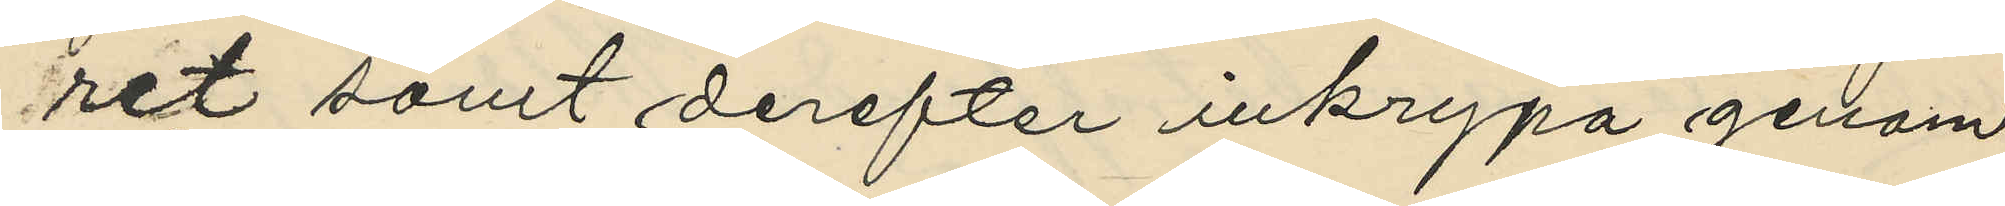ret samt derefter inkrypa genom
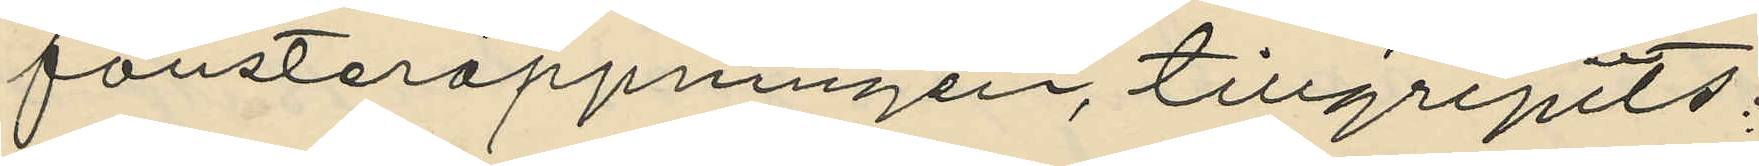fönsteröppningen, tillgripits:
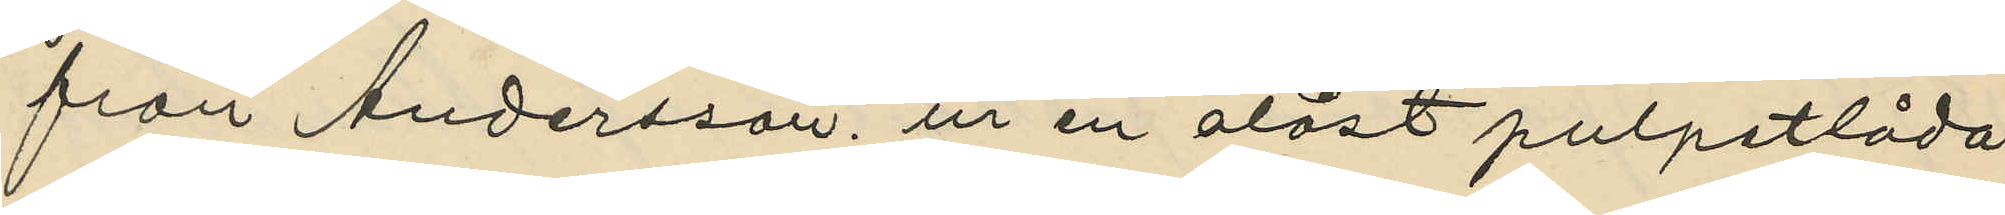från Andersson, ur en olåst pulpetlåda
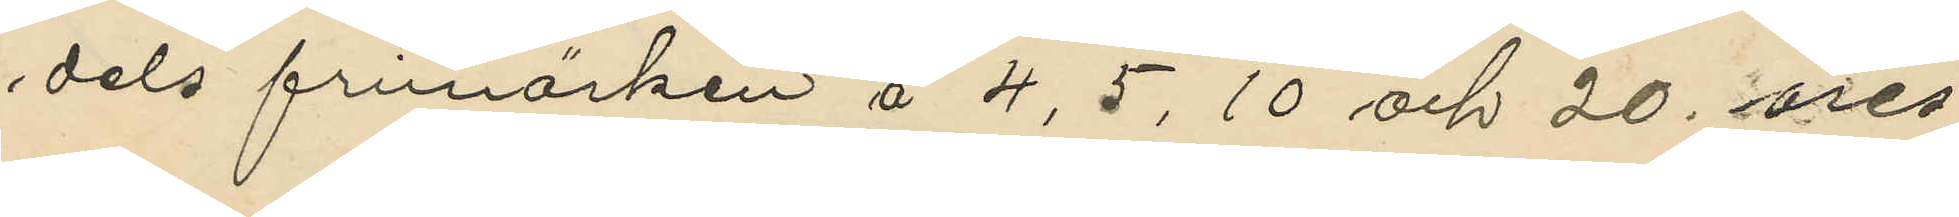dels frimärken å 4, 5, 10 och 20 öres
